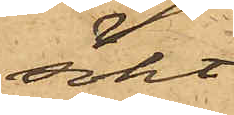sökt
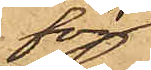för¬
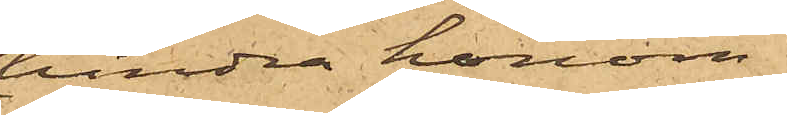hindra honom,
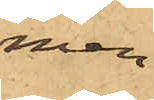men
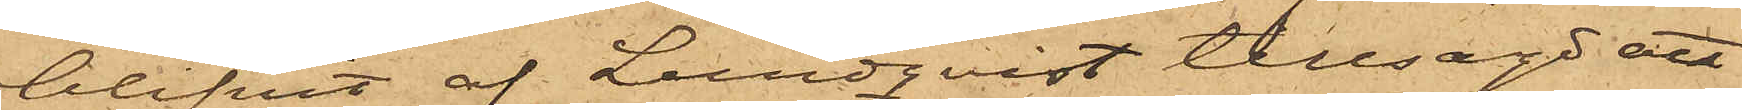blifvit af Lundqvist tillsagd att
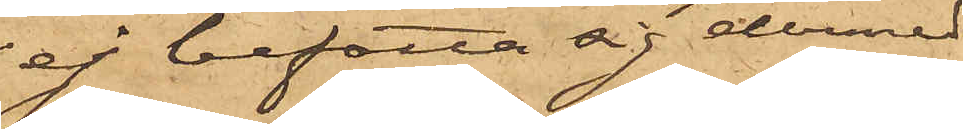ej befatta sig dermed.
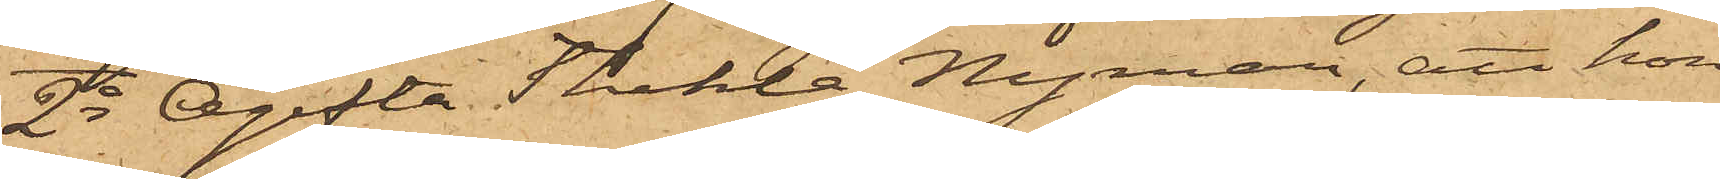2o Ogifta Thekla Nyman, att hon
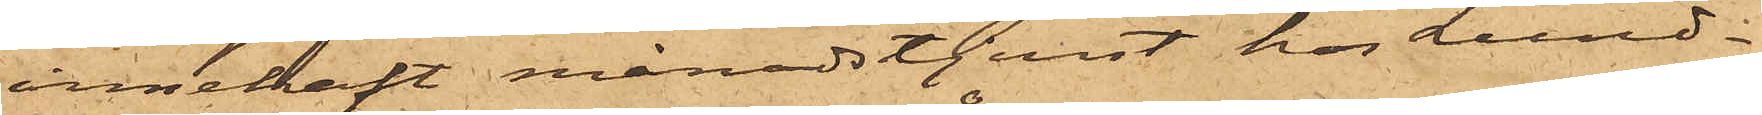innehaft månadstjenst hos Lund¬
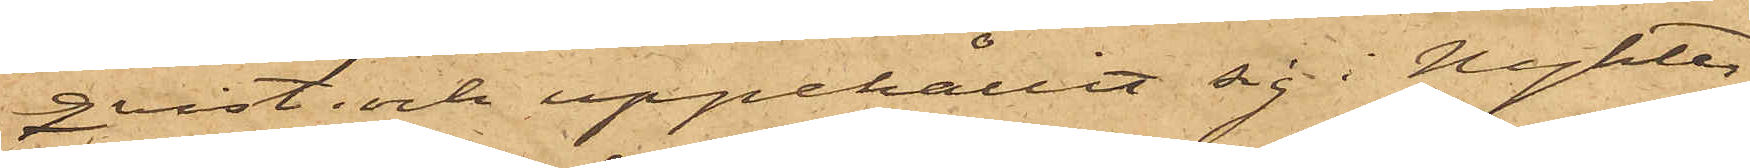qvist; och uppehållit sig i Nykter¬
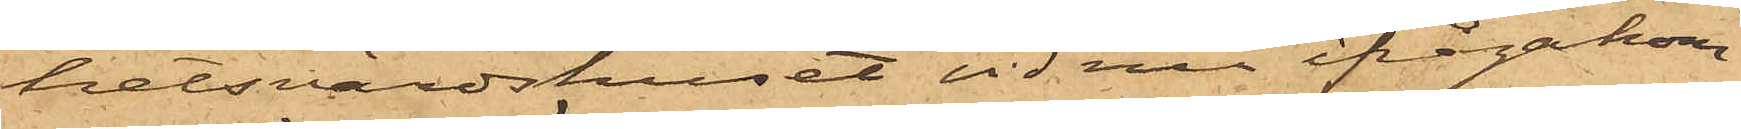hetsvärdshuset vid nu ifrågakom¬
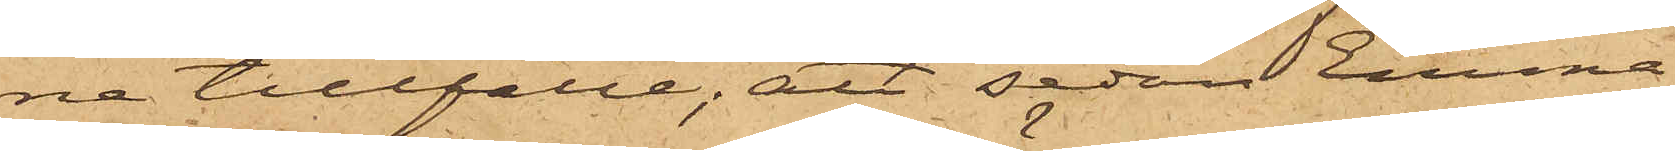ne tillfälle; att sedan Emma
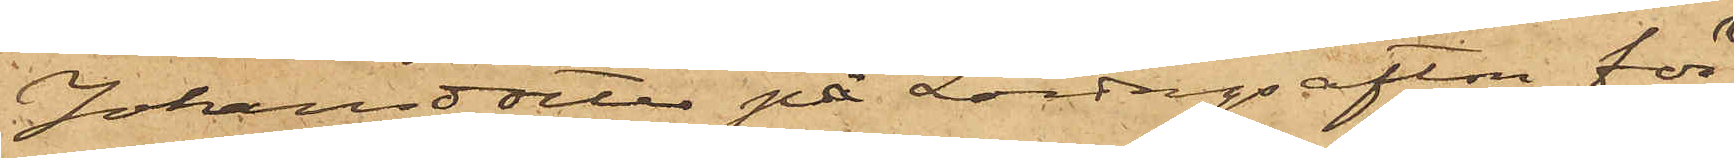Johansdotter på Lördagsafton för
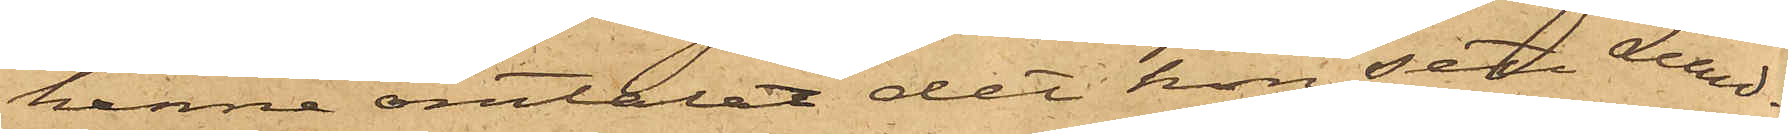henne omtalat det hon sett Lund¬
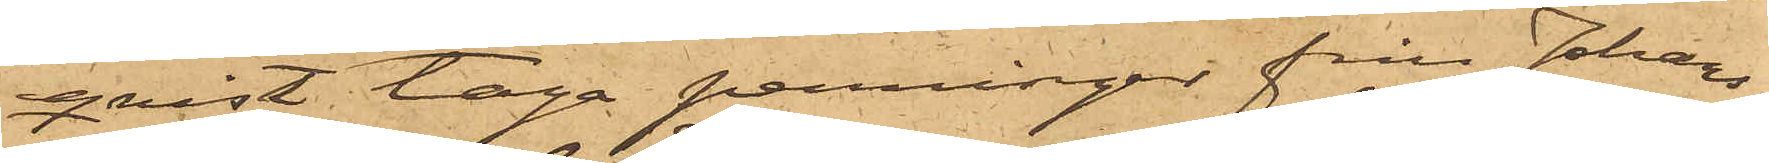qvist taga penningar från Johans¬
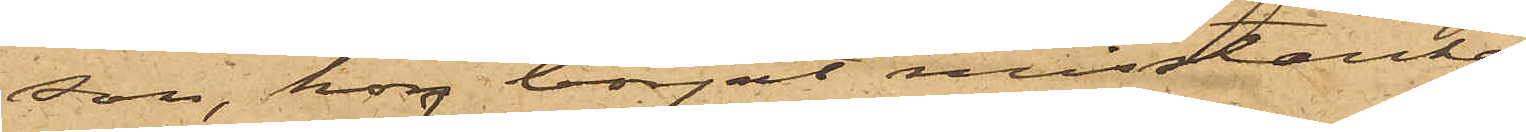son, hon börjat misstänka
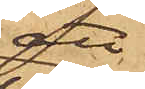att
